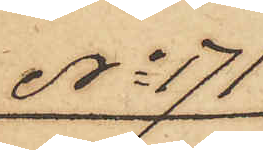No 171
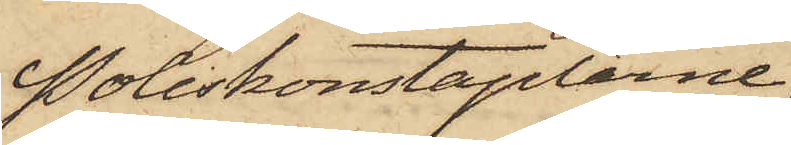Poliskonstaplarne
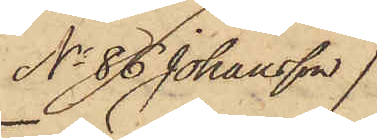No 86 Johansson
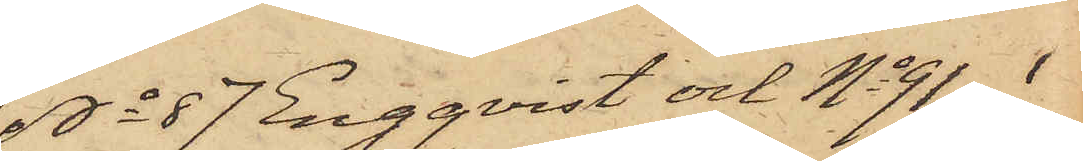No 87 Engqvist och No 91 i
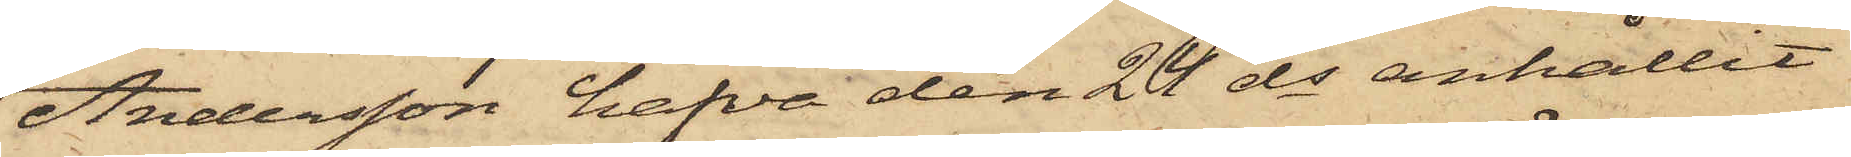Andersson hafva den 24 ds anhållit
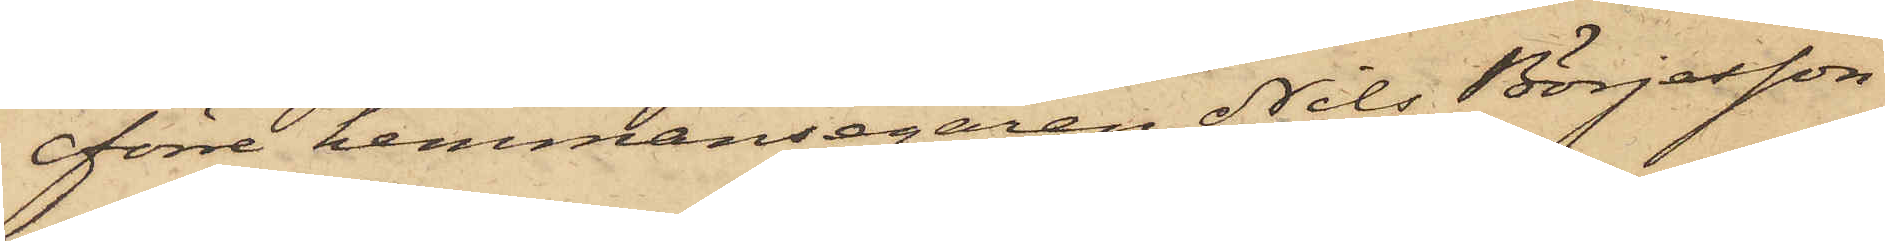förre hemmansegaren Nils Börjesson
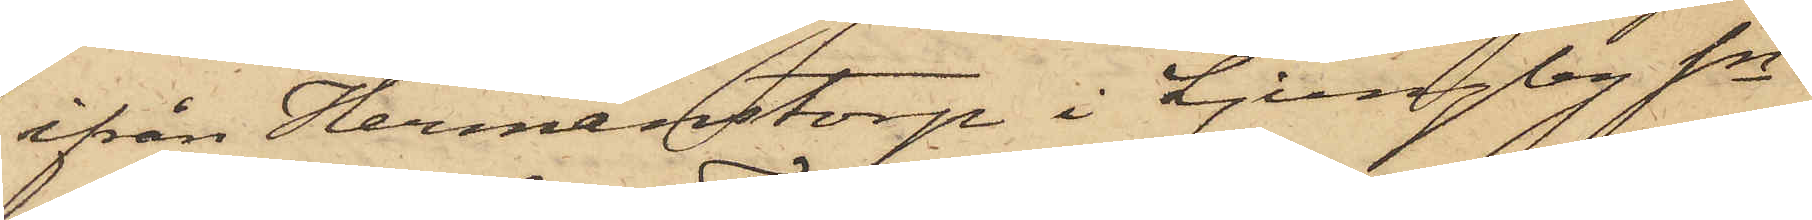ifrån Hermanstorp i Ljungby Sn
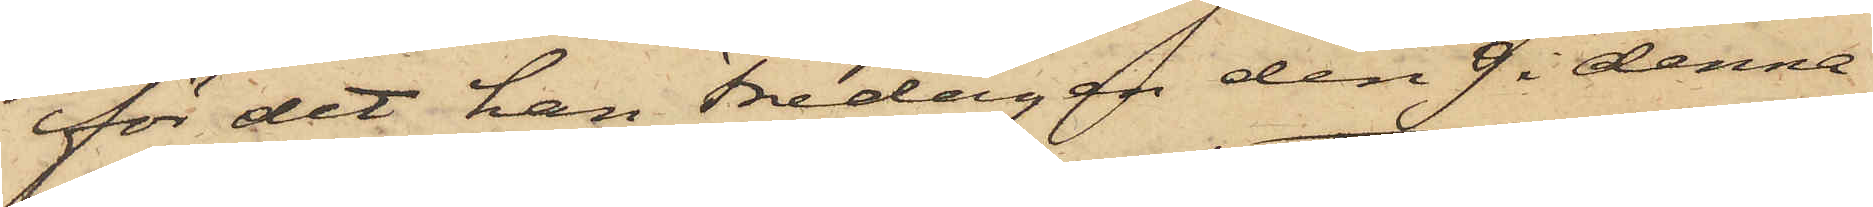för det han Fredagen den 9 i denna
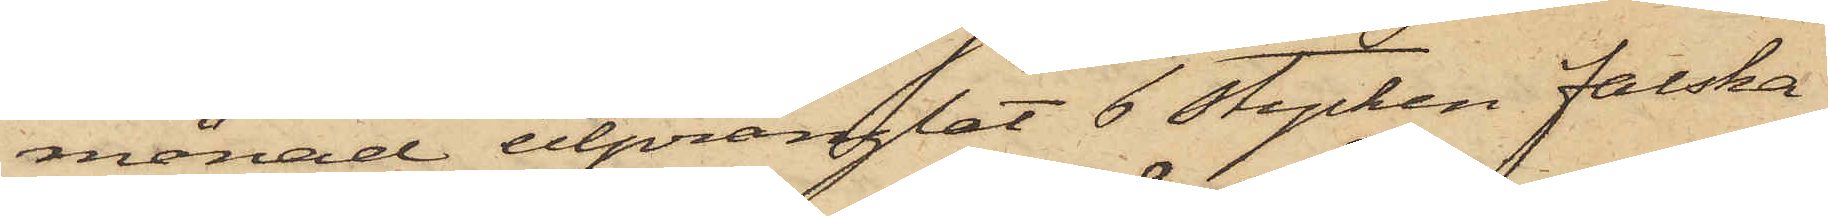månad utprånglat 6 stycken falska
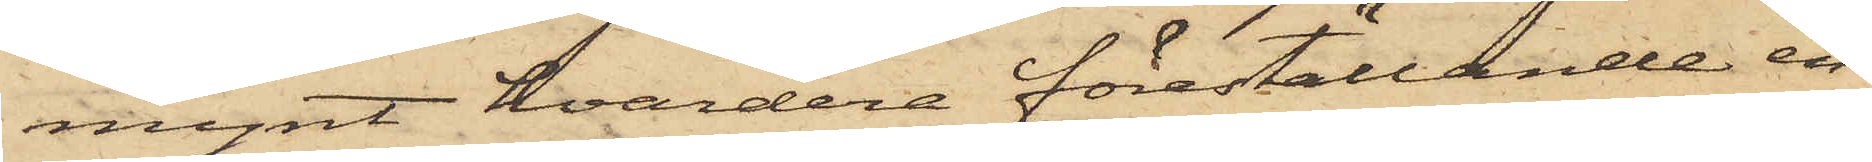mynt, hvardera föreställande en
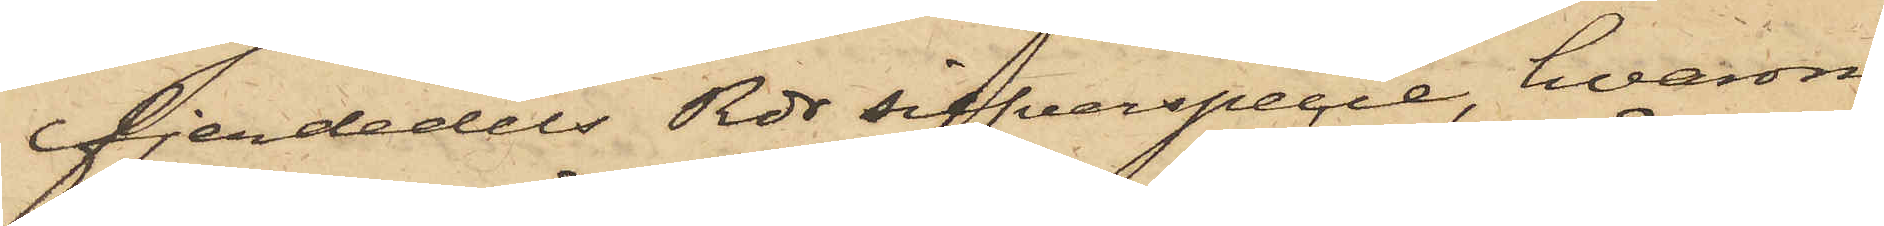fjerdedels Rdr silfverspecie, hvarom
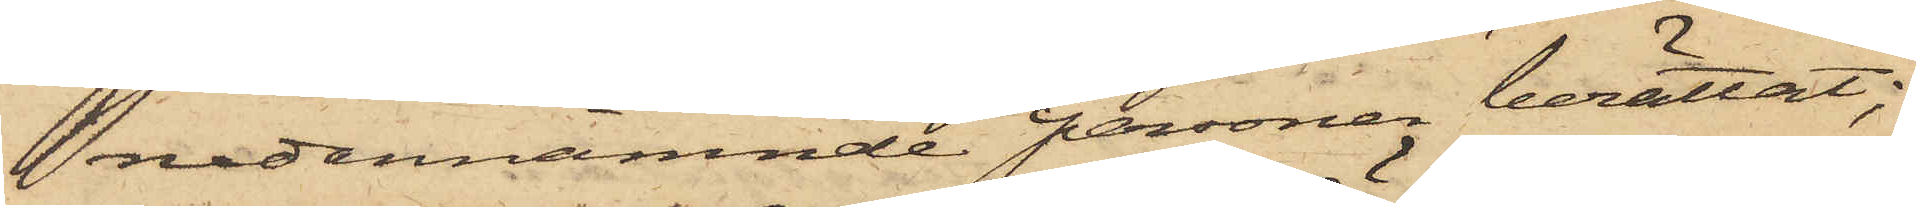nedannämnde personer berättat;
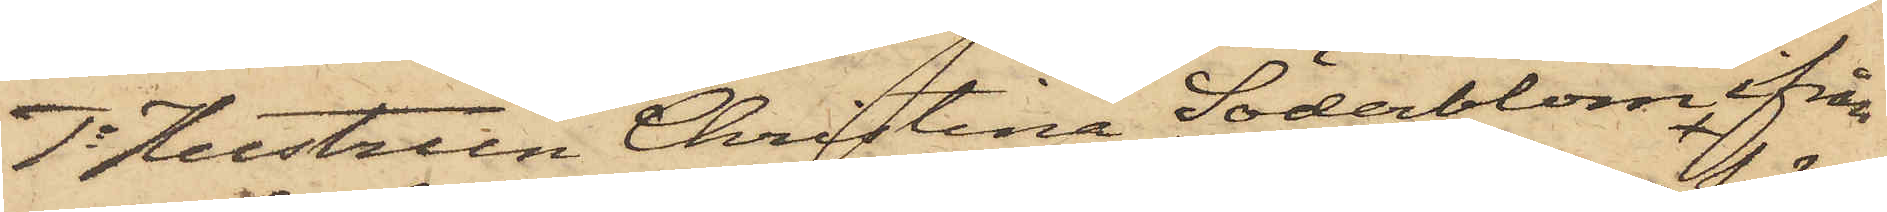1o Hustrun Christina Söderblom ifrån
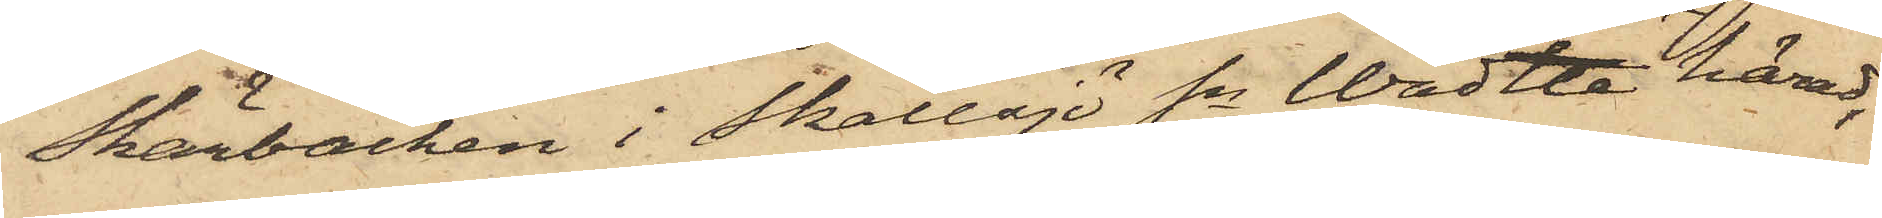Skärbäcken i Skallsjö Sn Wädtle härad,
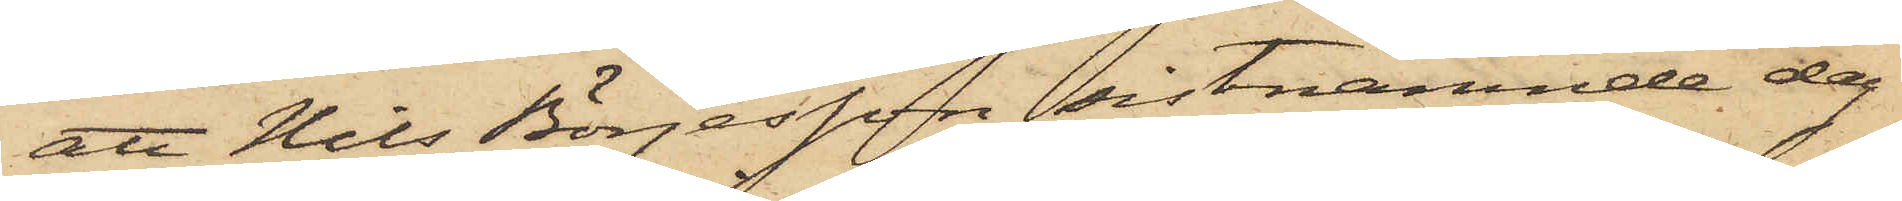att Nils Börjesson sistnämnde dag
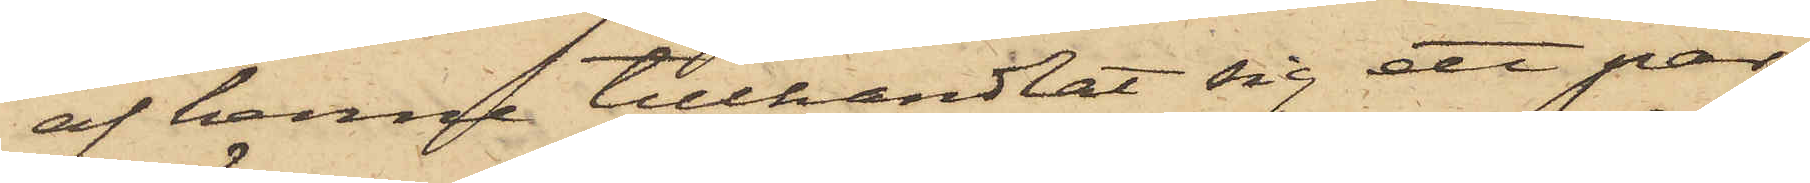af henne tillhandlat sig ett par
